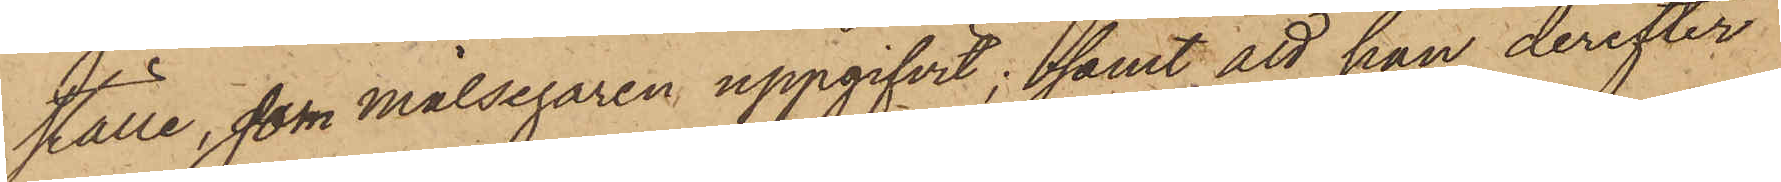ställe, som målsegaren uppgifvit; samt att han derefter
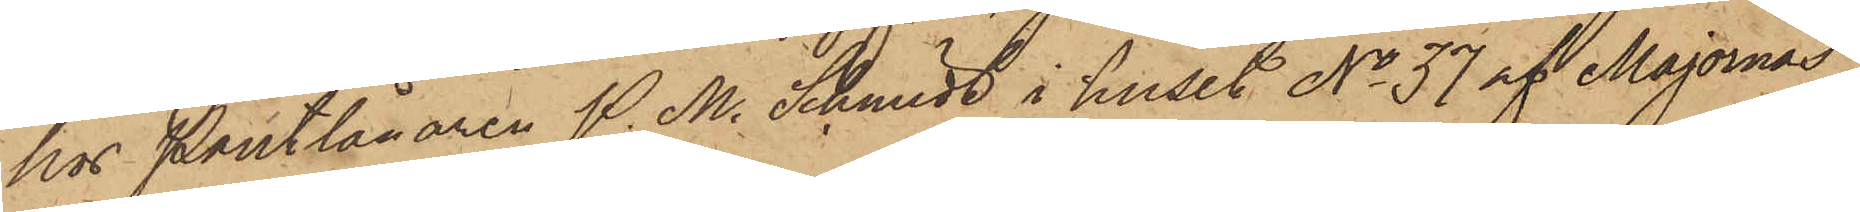hos Pantlånaren P. M. Schmidt i huset No 37 af Majornas
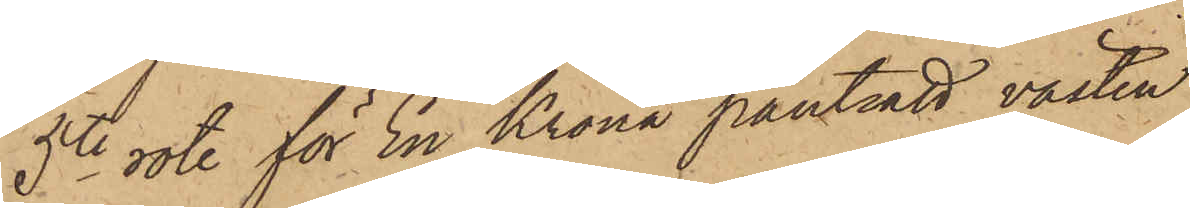5te rote för En Krona pantsatt västen.
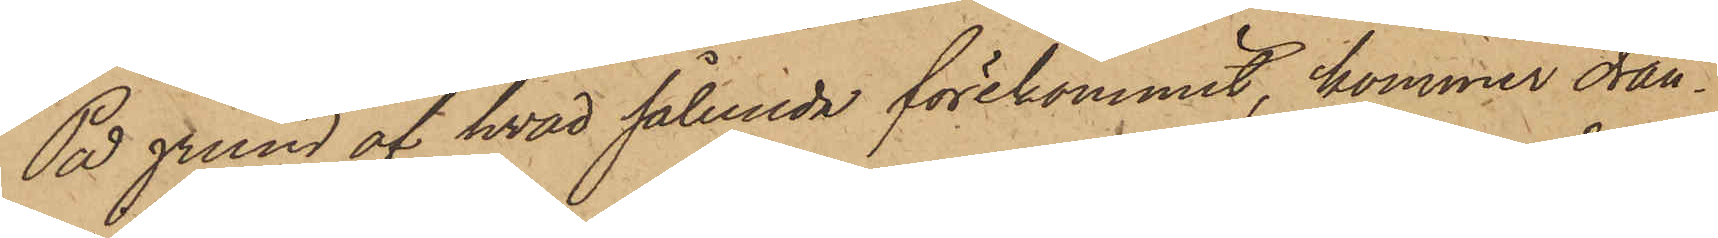På grund af hvad sålunda förekommit, kommer drän¬
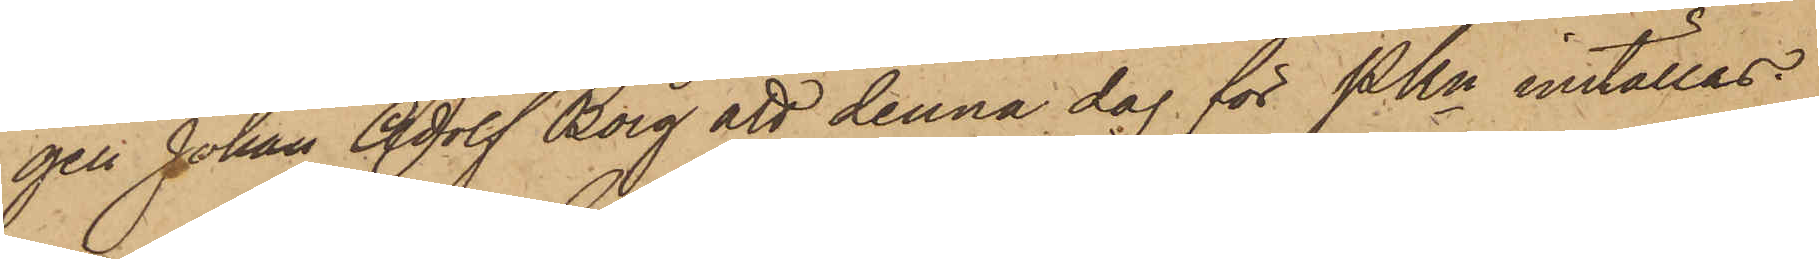gen Johan Adolf Borg att denna dag för PKn inställas.
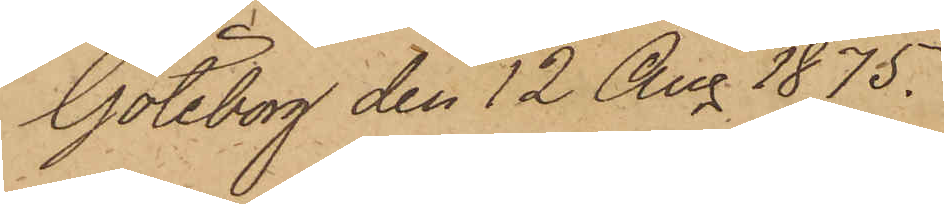Göteborg den 12 Aug. 1875.
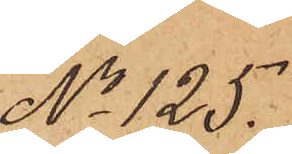No 125.
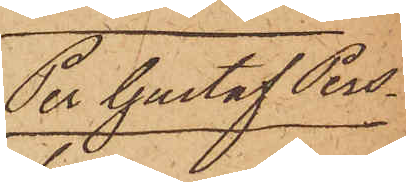Per Gustaf Pers¬
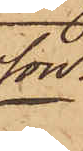son.
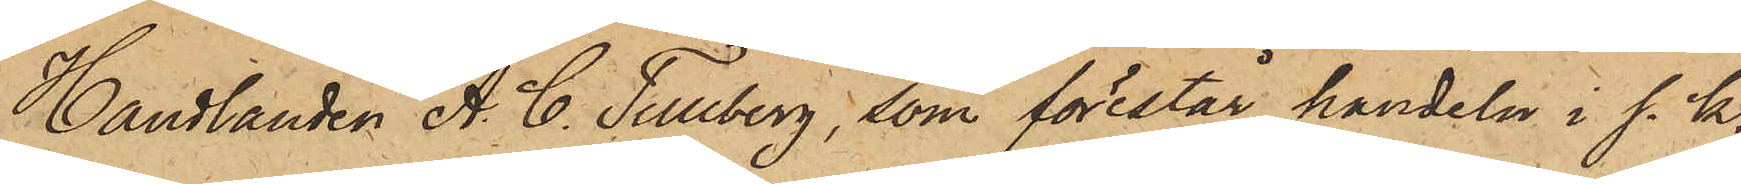Handlanden A. C. Tullberg, som förestår handeln i s. k.
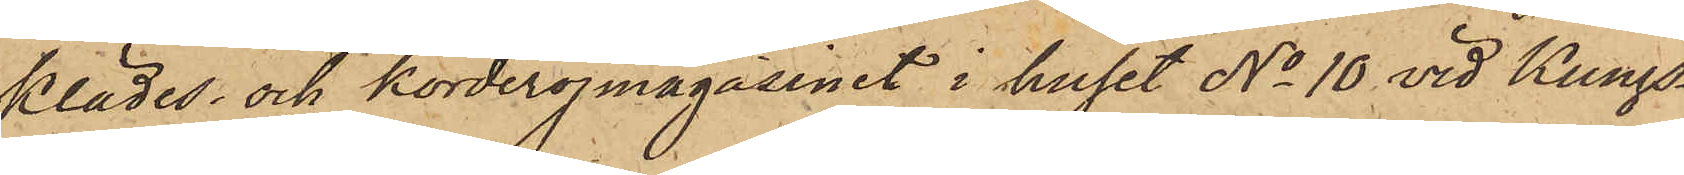Klädes¬ och korderojmagasinet i huset No 10 vid Kungs¬
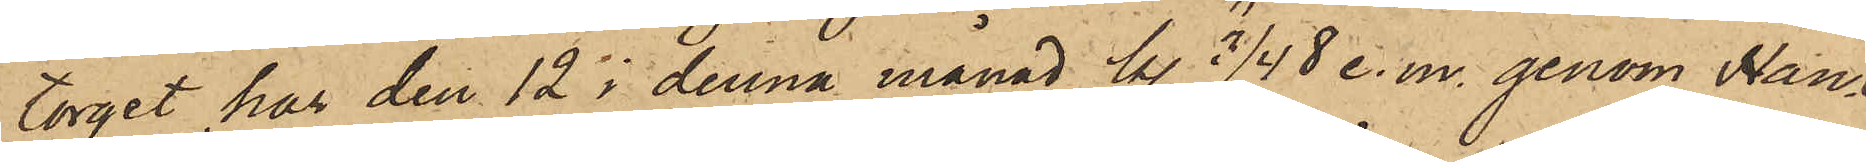torget har den 12 i denna månad kl. 3/4 8 e.m. genom Han¬
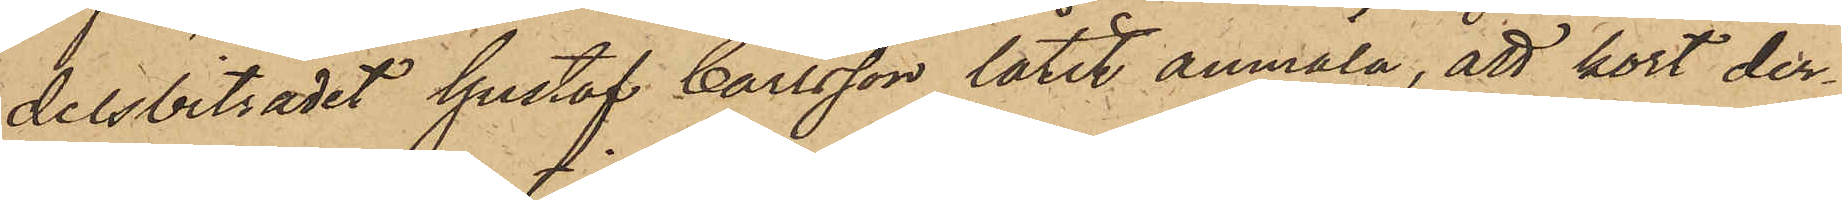delsbiträdet Gustaf Carlsson låtit anmäla, att kort der¬
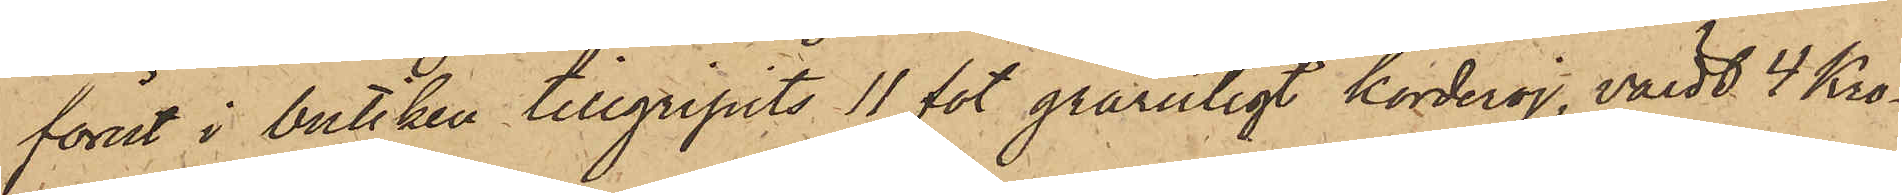förut i butiken tillgripits 11 fot grårutigt korderoj, värdt 4 Kro¬
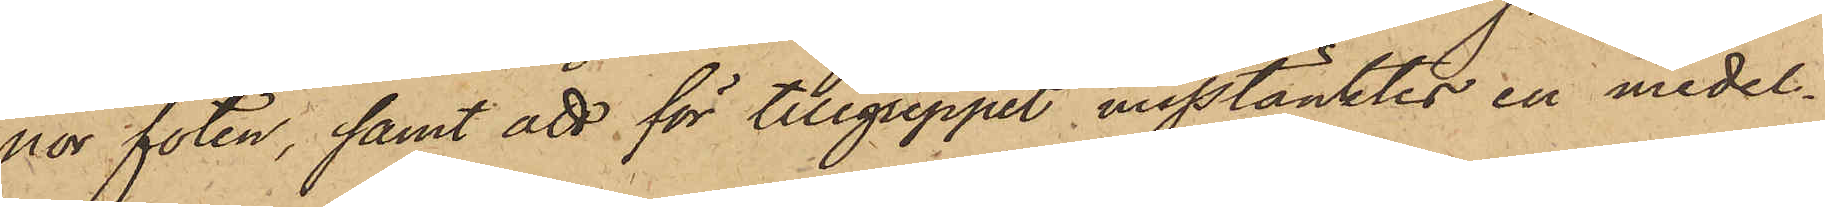nor foten, samt att för tillgreppet misstänktes en medel¬
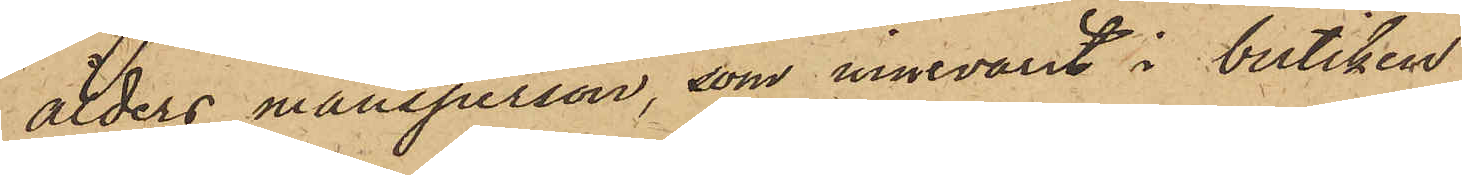ålders mansperson, som innevarit i butiken
